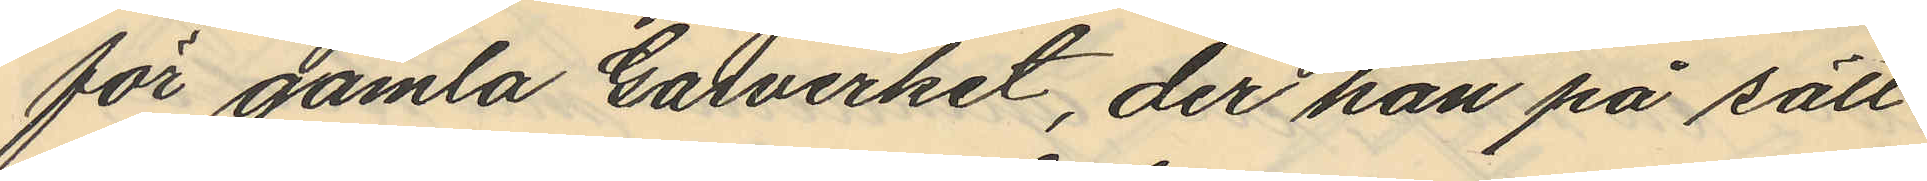för gamla Gasverket, der han på sätt
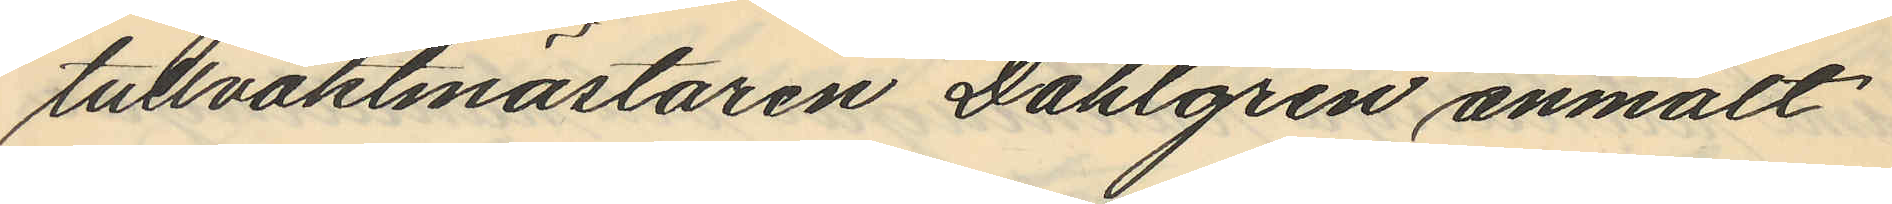tullvaktmästaren Dahlgren anmält
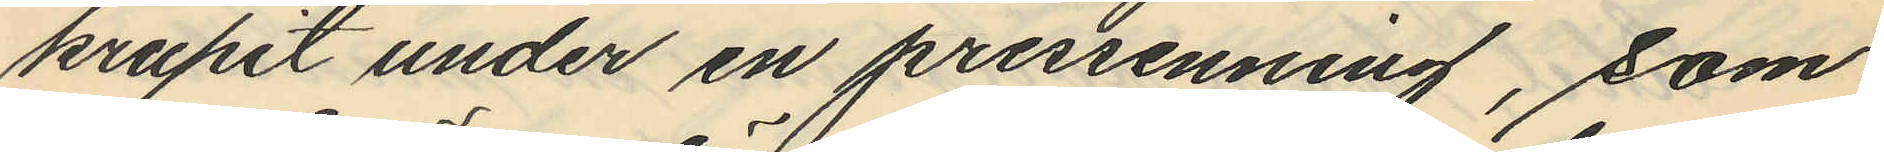krupit under en pressenning, som
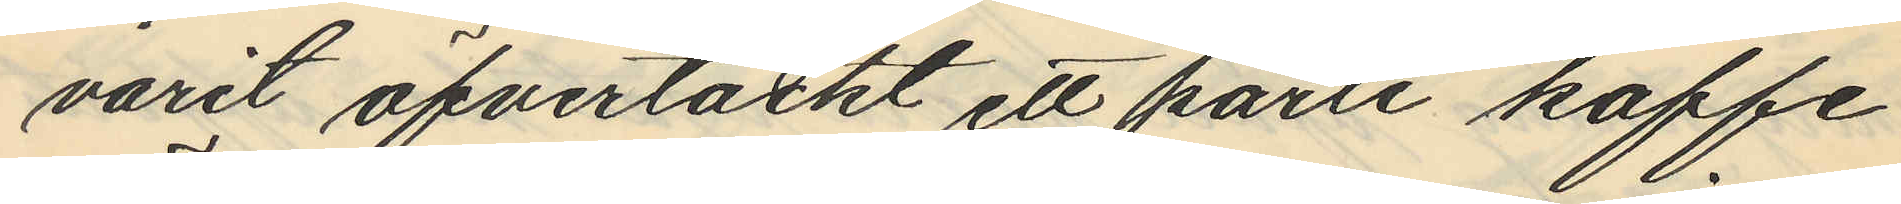varit öfvertäckt ett parti kaffe
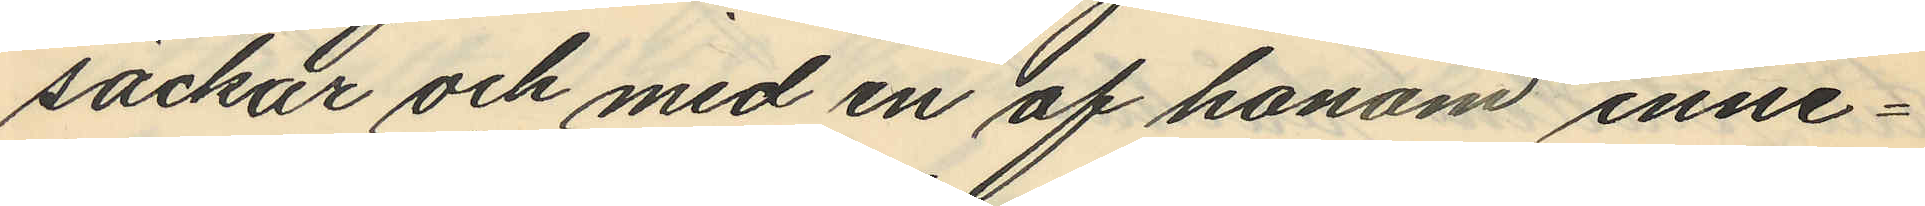säckar och med en af honom inne¬
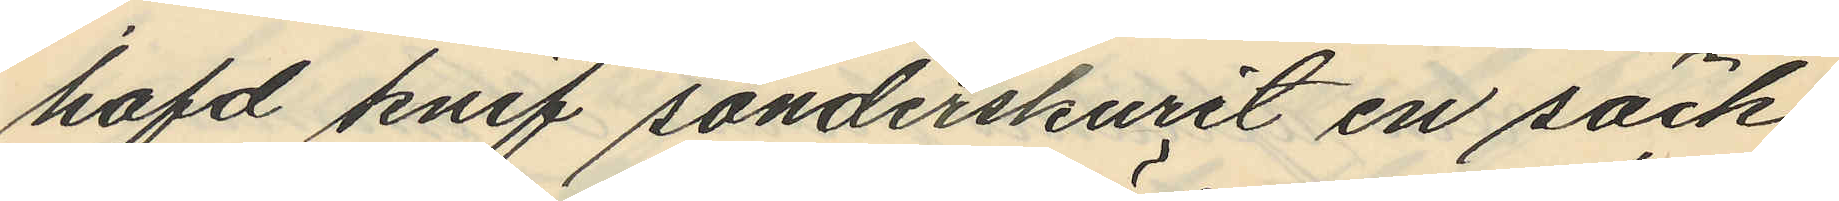hafd knif sönderskurit en säck
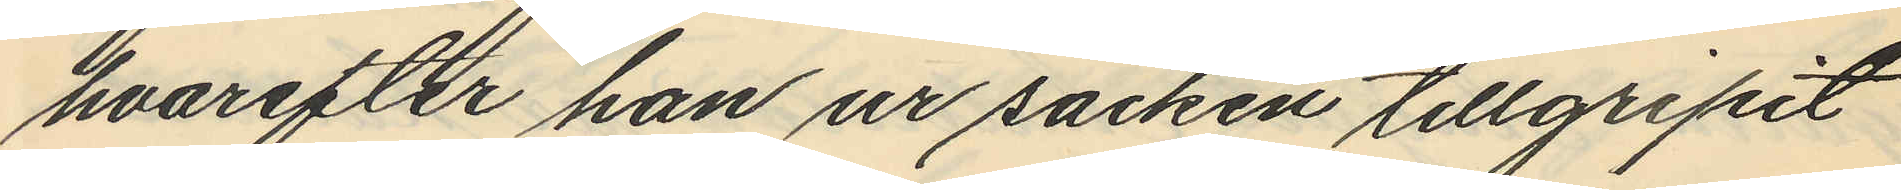hvarefter han ur säcken tillgripit
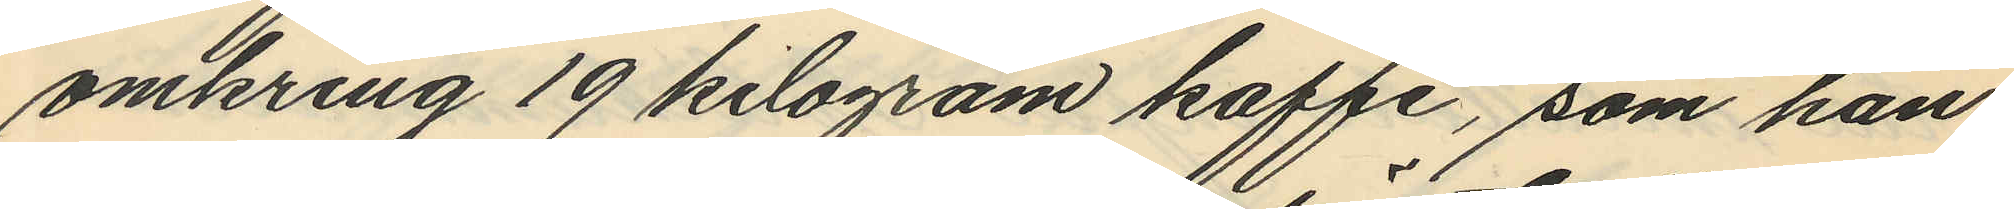omkring 19 kilogram kaffe, som han
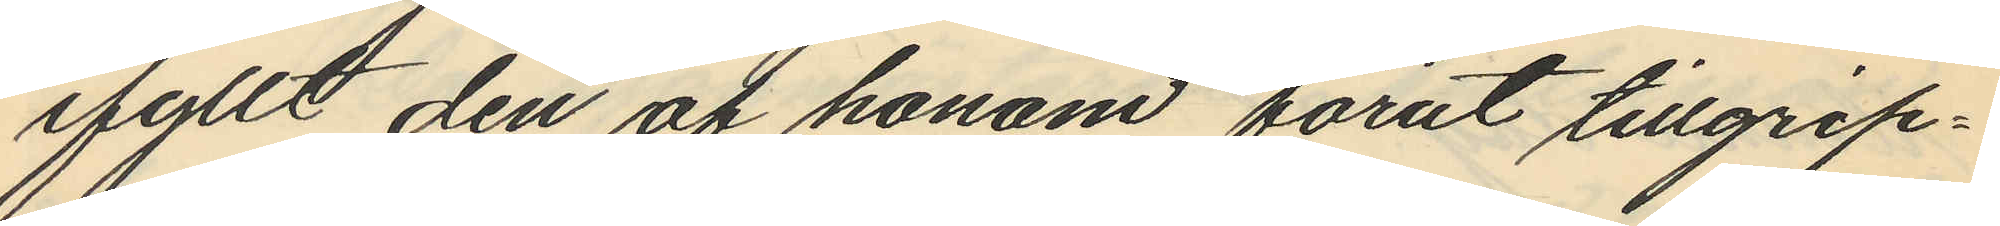fyllt den af honom förut tillgrip¬
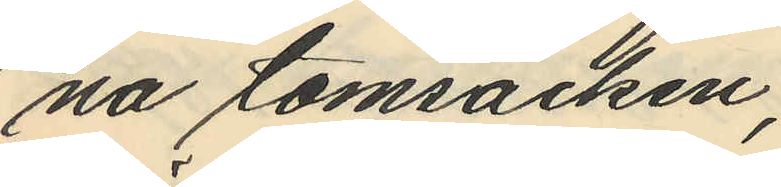na tomsäcken,
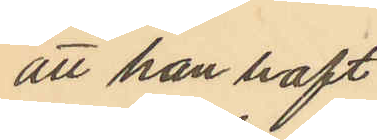att han haft
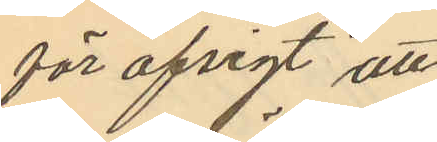för afsigt att
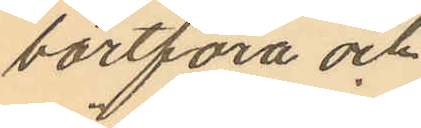bortföra och
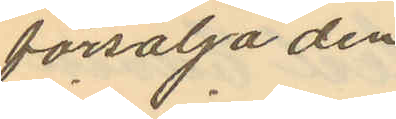försälja den
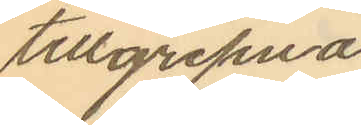tillgripna
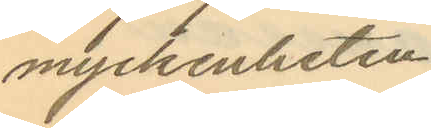myckenheten.
